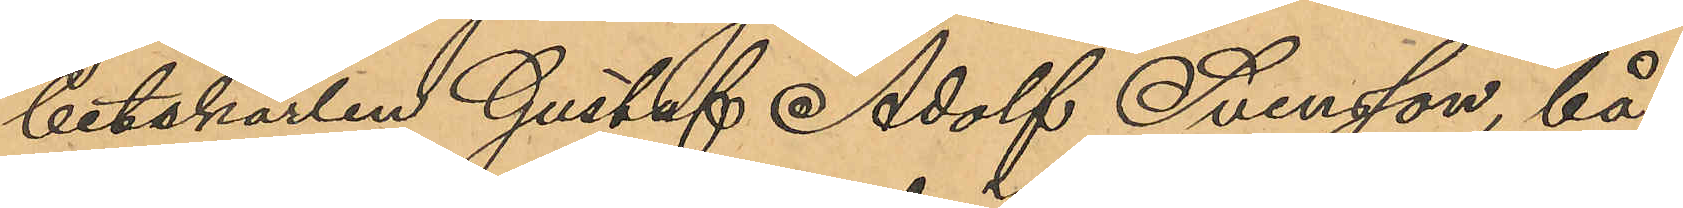betskarlen Gustaf Adolf Svensson, bå¬
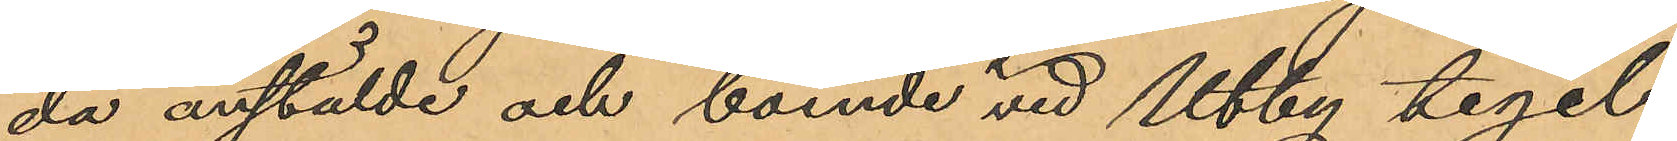da anstälde och boende vid Utby tegel¬
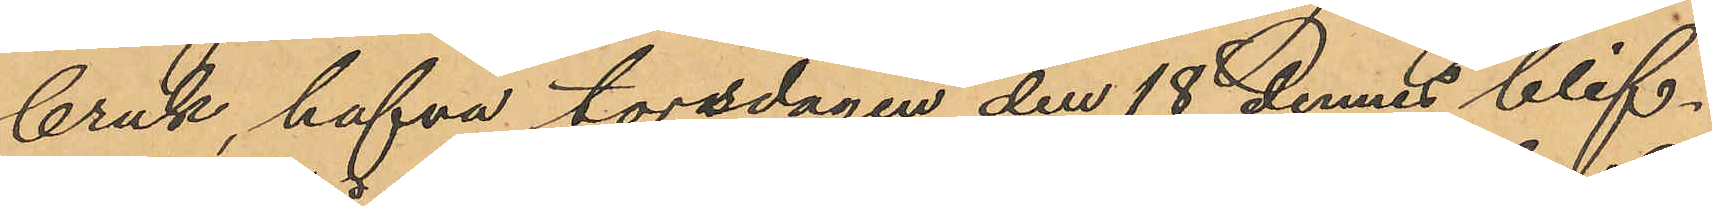bruk, hafva torsdagen den 18 dennes blif¬
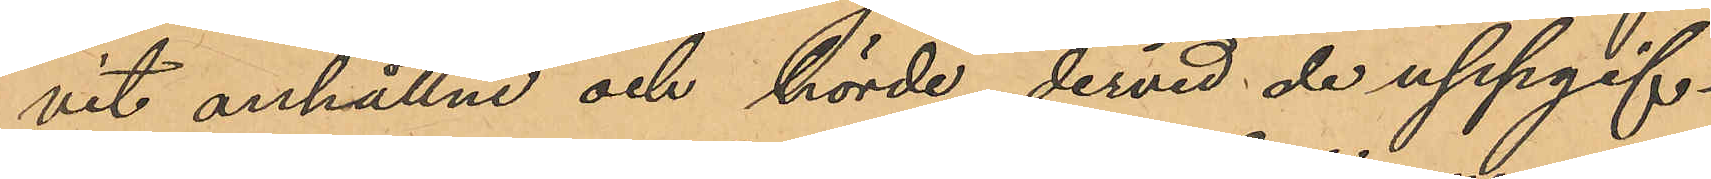vit anhållne och hörde dervid de uppgif¬
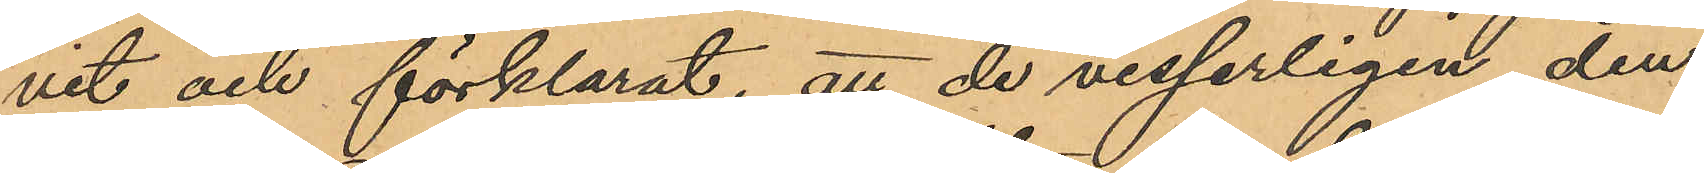vit och förklarat, att de visserligen den
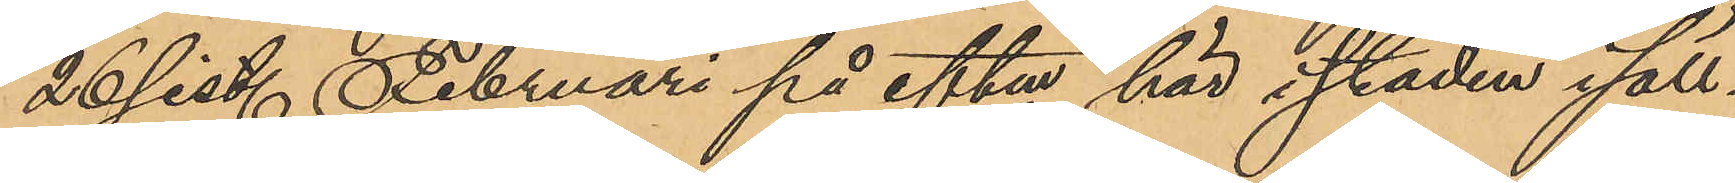26 sist. Februari på eftm här i staden i säll¬
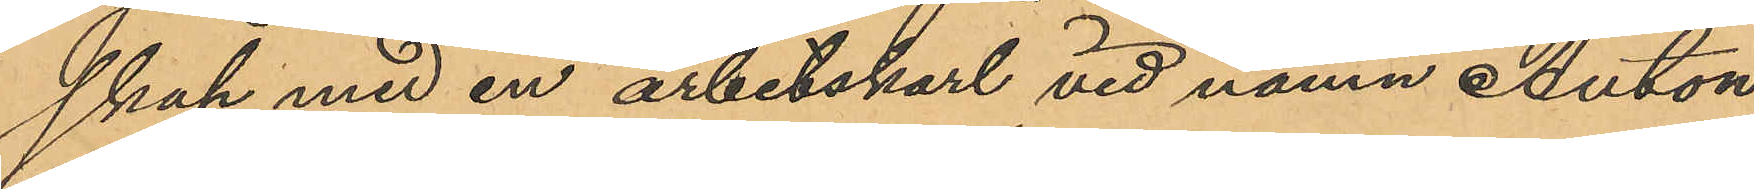skap med en arbetskarl vid namn Anton
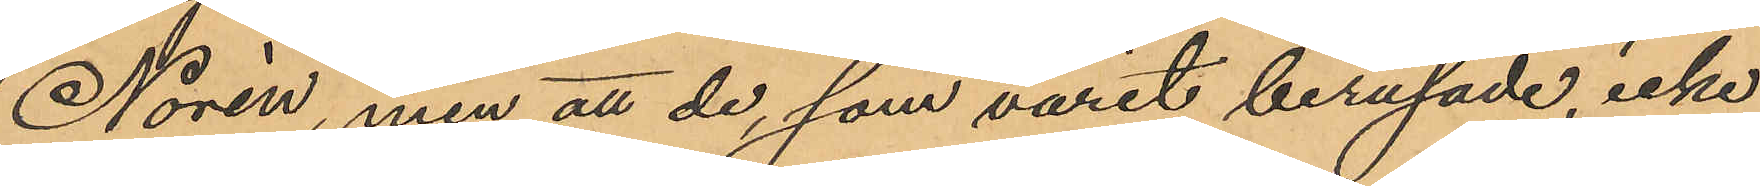Norén, men att de, som varit berusade, icke
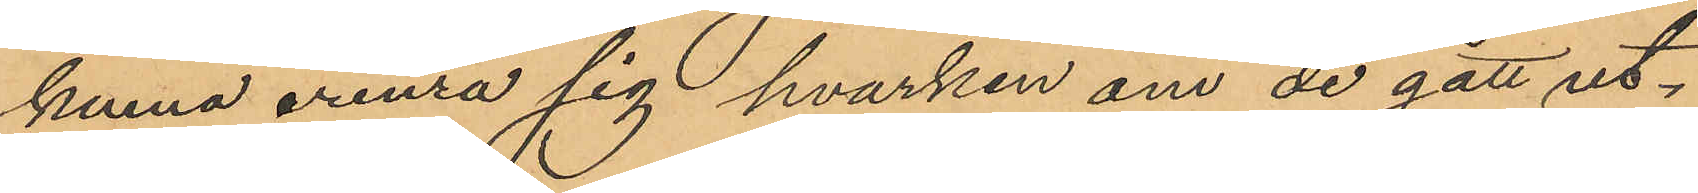kunna erinra sig hvarken om de gått ut¬
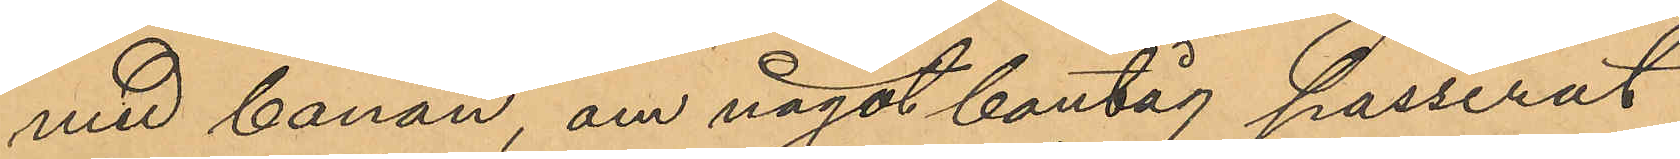med banan, om något bantåg passerat
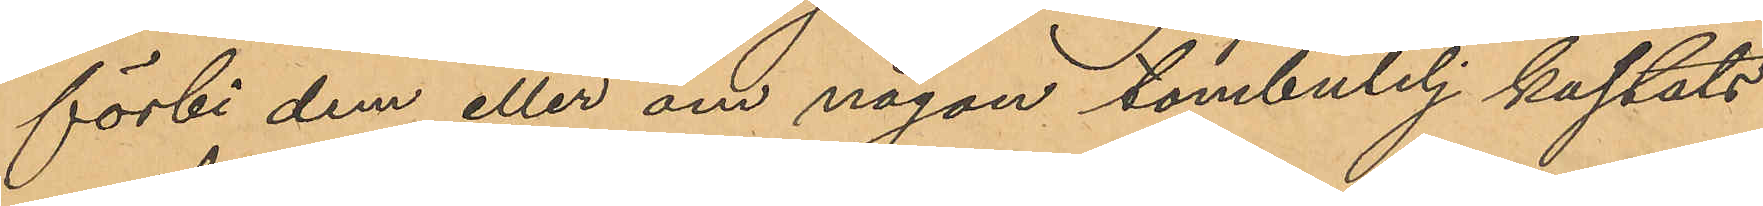förbi dem eller om någon tombutelj kastats
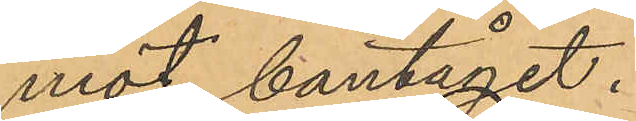mot bantåget.
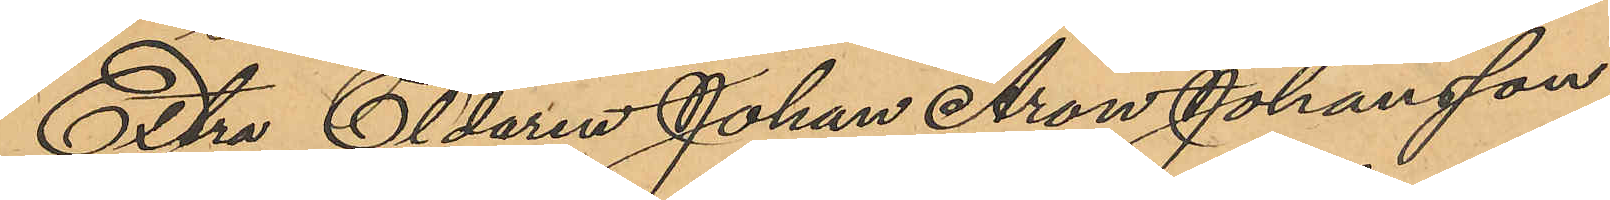Extra Eldaren Johan Aron Johansson,
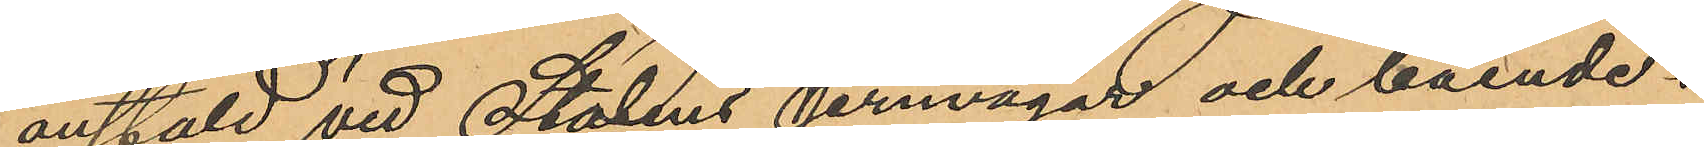anstäld vid Statens jernvägar och boende i
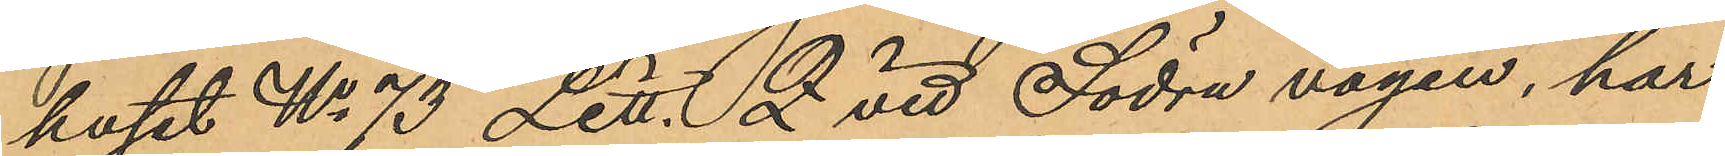huset No 73 Litt. Z vid Södra vägen, har
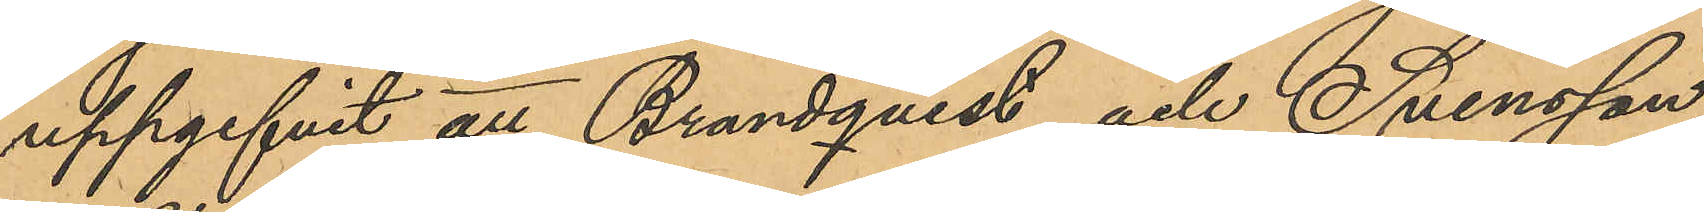uppgifvit att Brandqvist och Svensson
